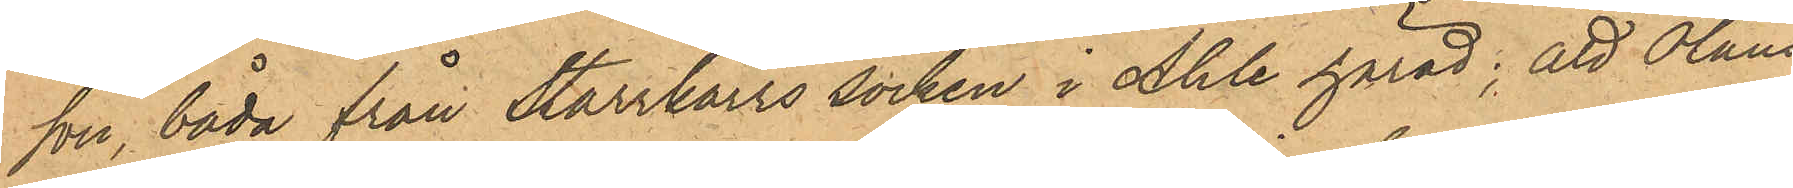son, båda från Starrkärrs socken i Ahle härad; att Olaus
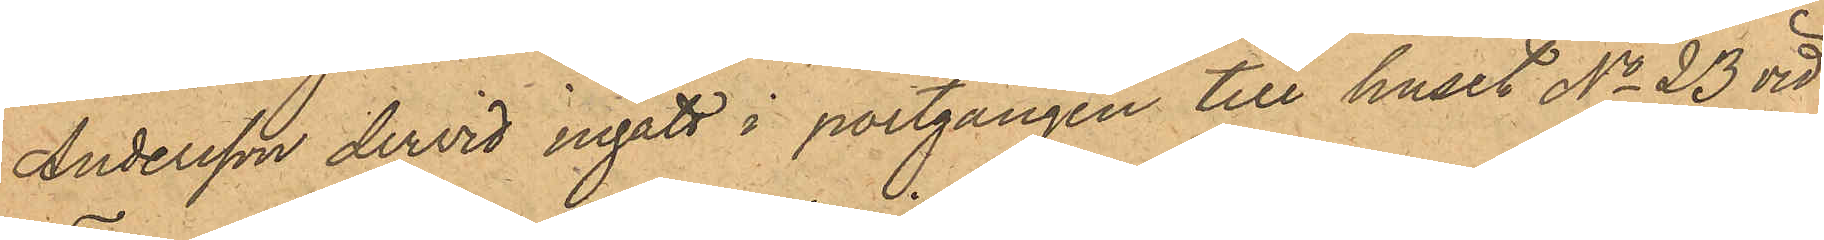Andersson dervid ingått i portgången till huset No 23 vid
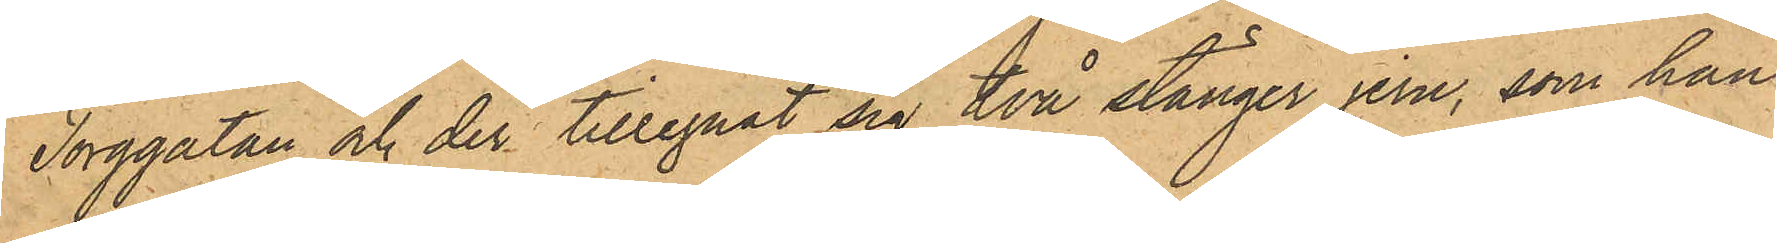Torggatan och der tillegnat sig två stånger jern, som han
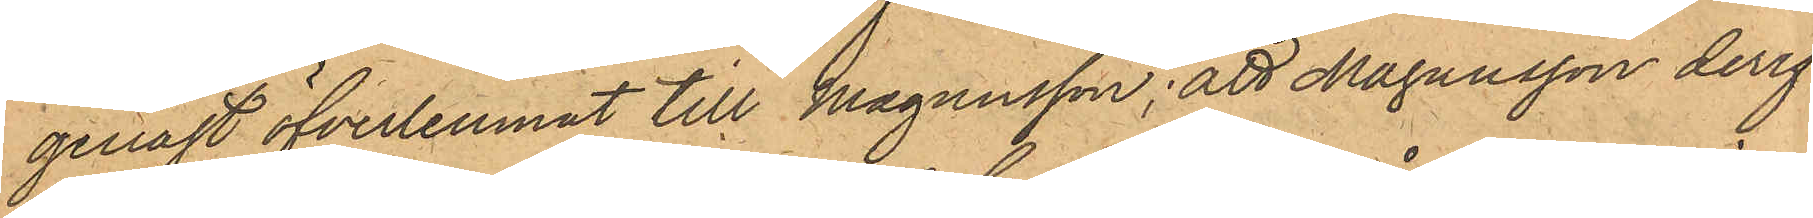genast öfverlemnat till Magnusson; att Magnusson deref¬
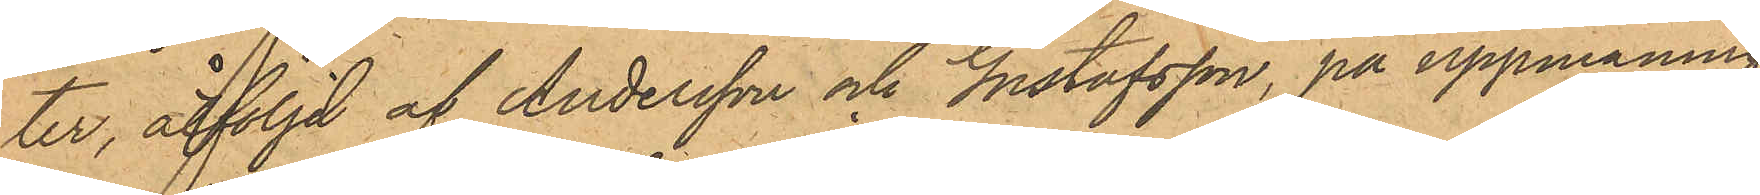ter, åtföljd af Andersson och Gustafsson, på uppmaning
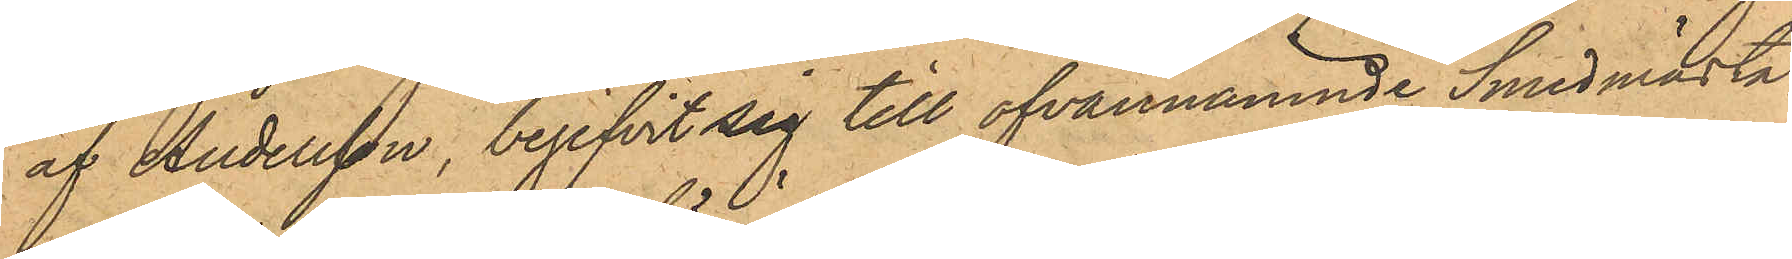af Andersson, begifvit sig till ofvannämnde Smedmästa¬
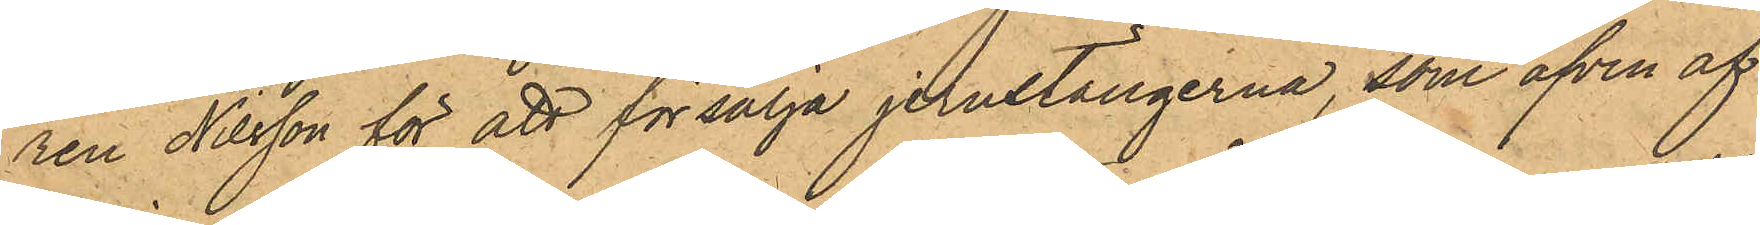ren Nilsson för att försälja jernstängerna, som äfven af
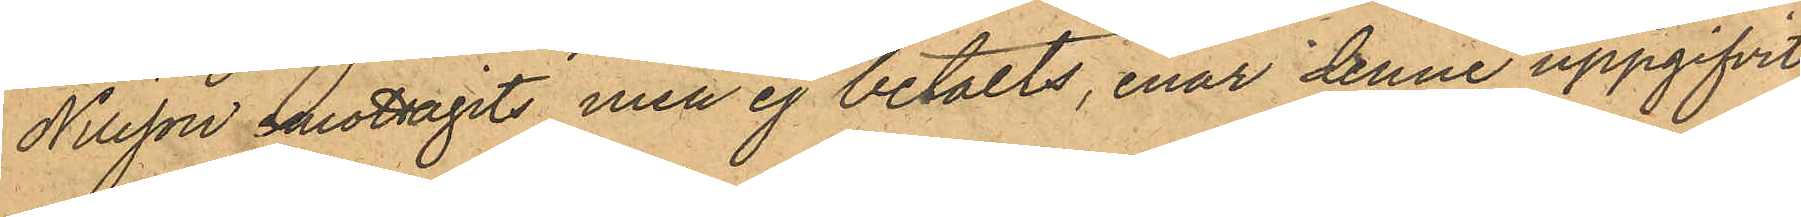Nilsson emottagits men ej betalts, enär denne uppgifvit
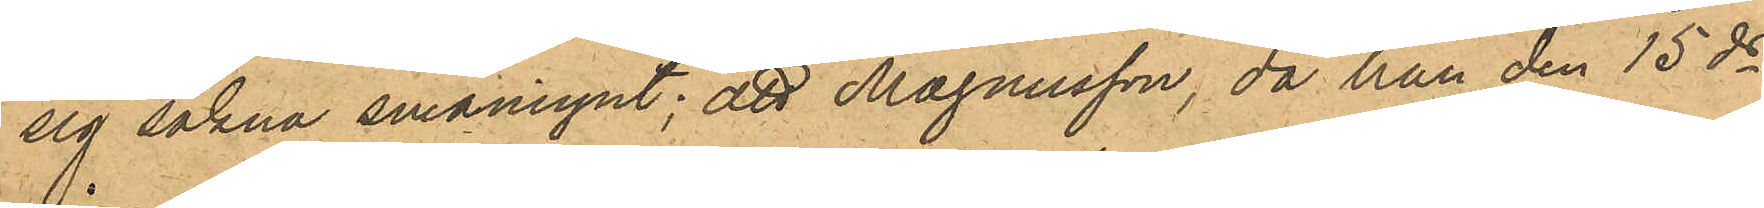sig sakna småmynt; att Magnusson, då han den 15 ds
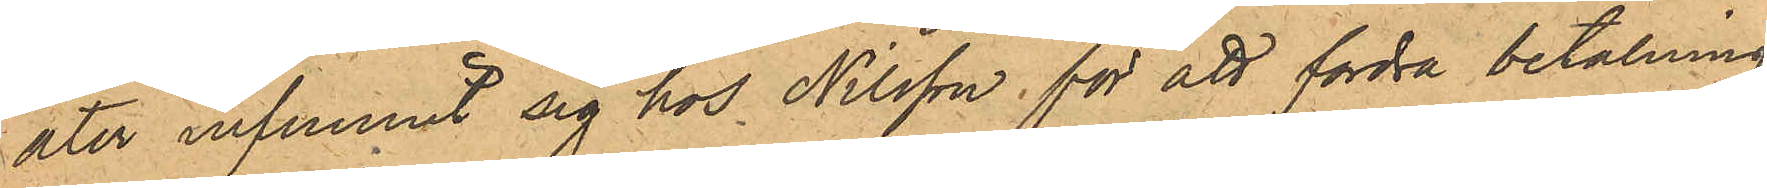åter infunnit sig hos Nilsson för att fordra betalning
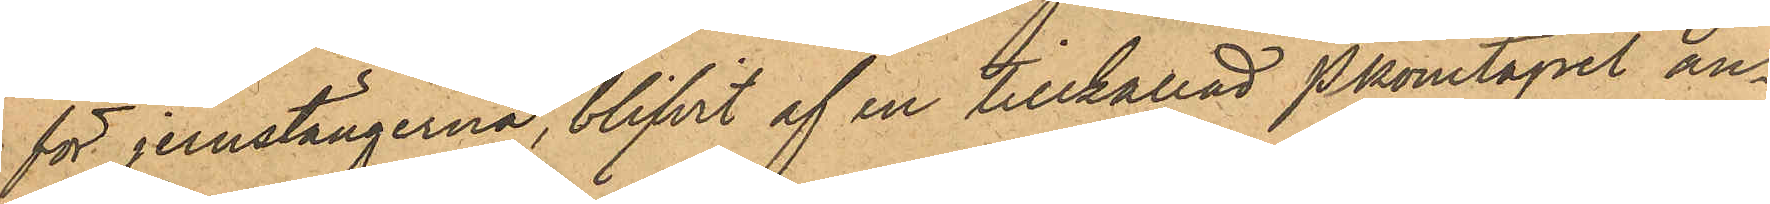för jernstängerna, blifvit af en tillkallad Pkonstapel an¬
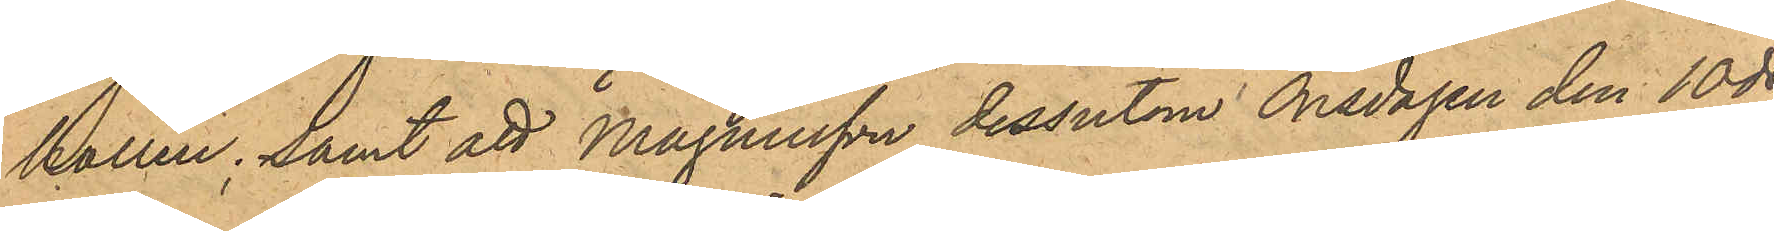hållen; samt att Magnusson dessutom Onsdagen den 10 ds
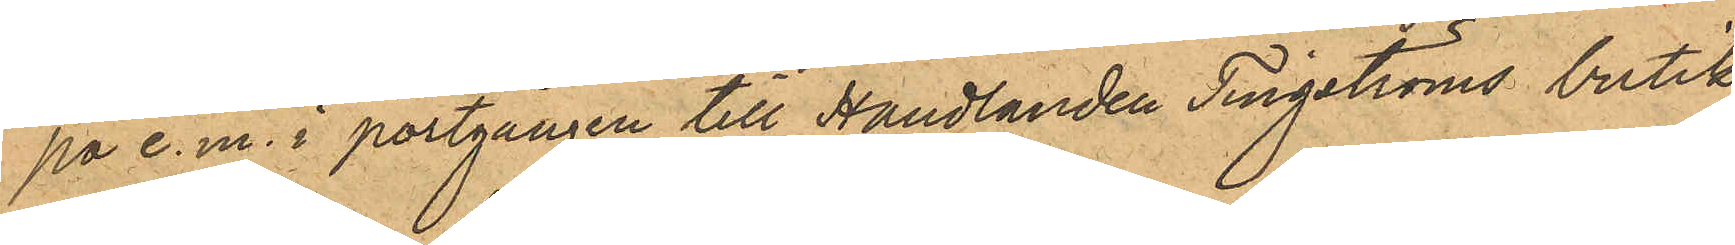på e.m. i portgången till Handlanden Tingströms butik
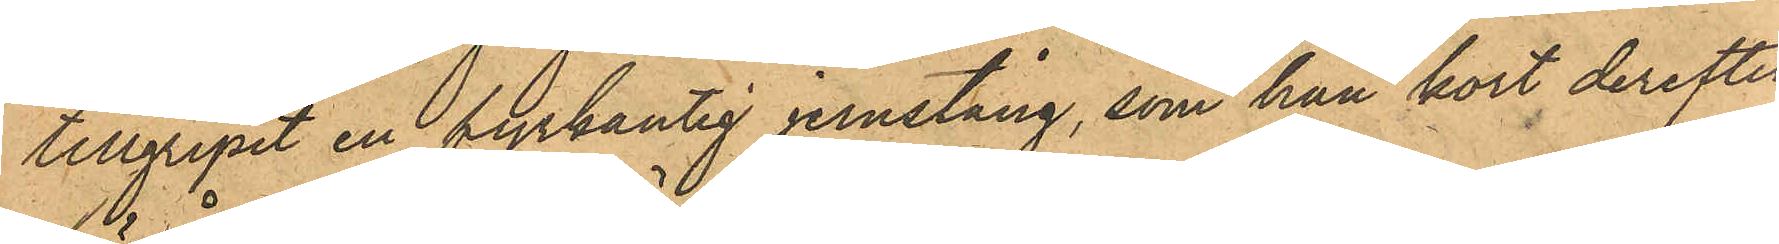tillgripit en fyrkantig jernstång, som han kort derefter
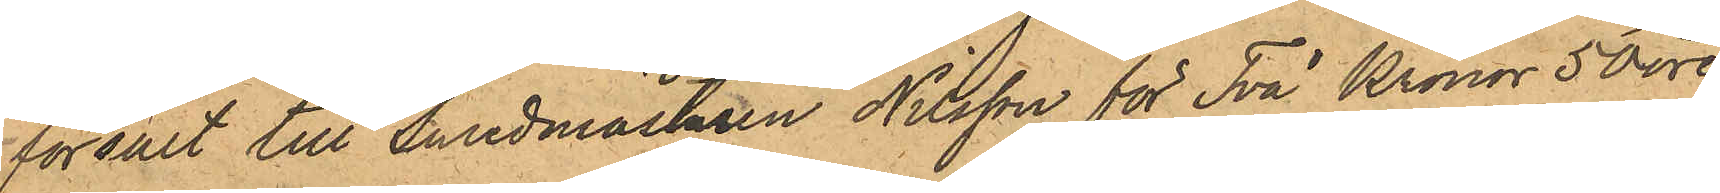försålt till Smedmästaren Nilsson för Två Kronor 50 öre,
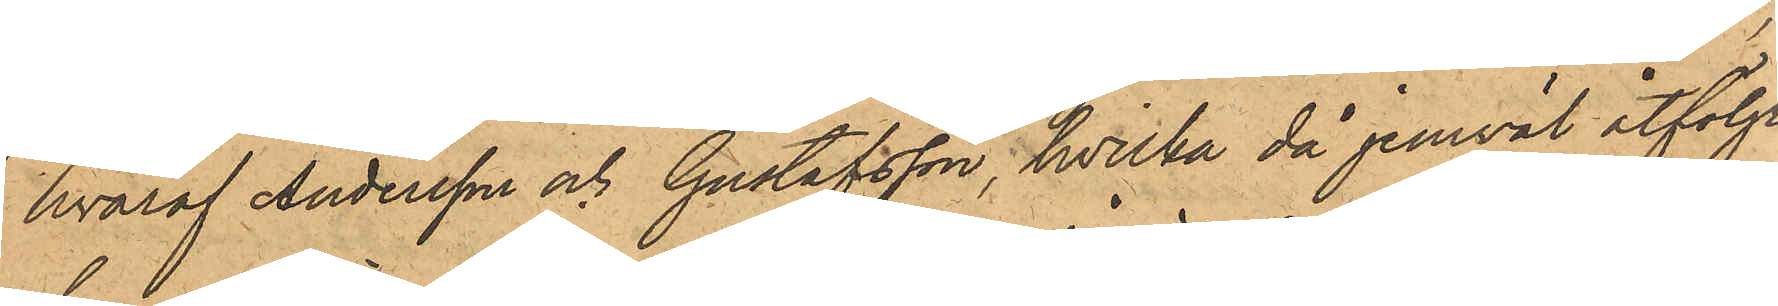hvaraf Andersson och Gustafsson, hvilka då jemväl åtföljt
